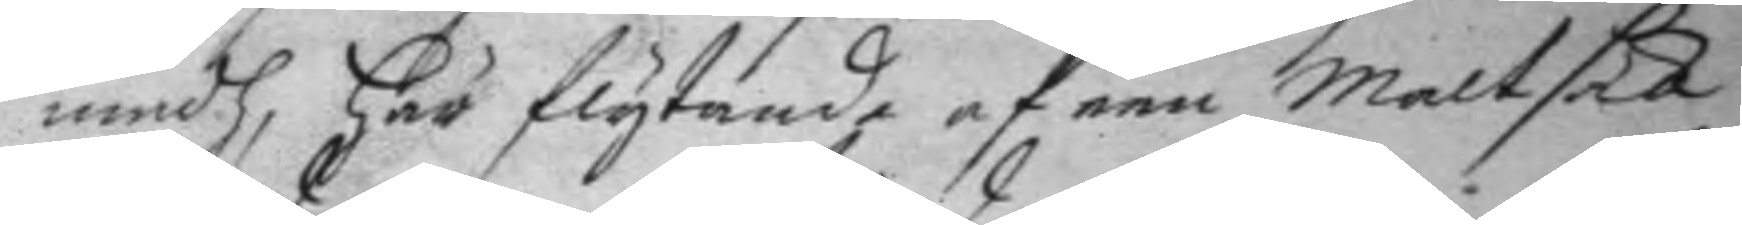medh, här flytande af een maltsäck
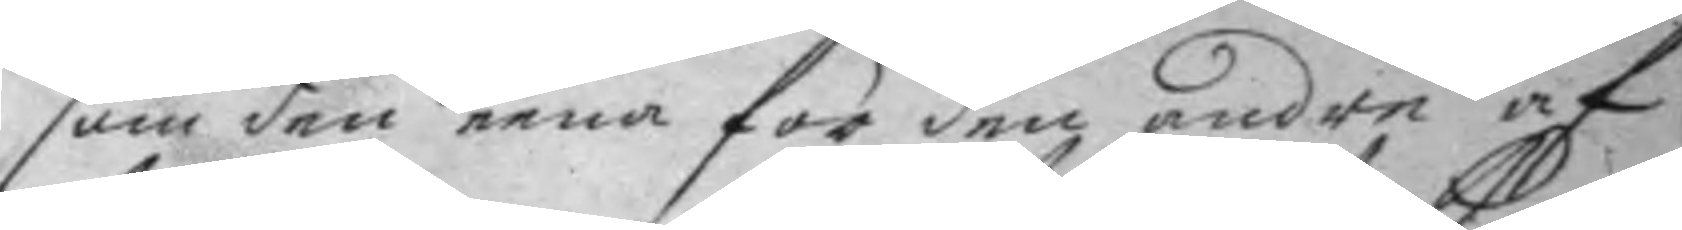som den eena för den andre af
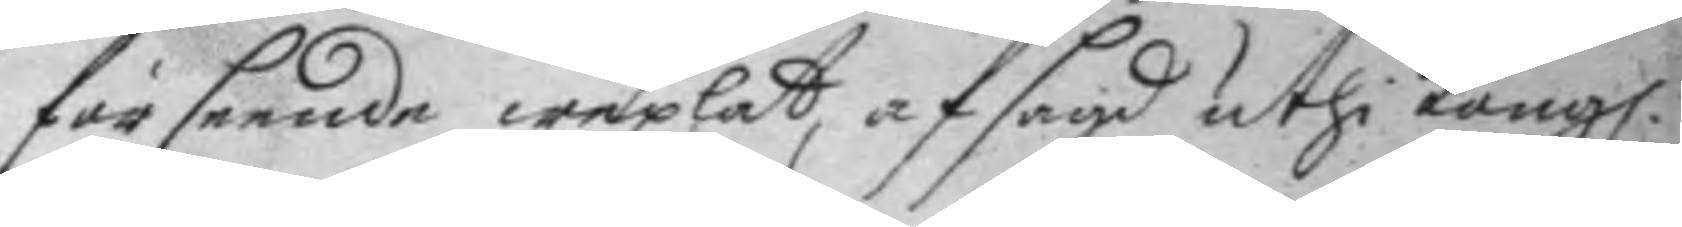förseende wexlat, af sagd uthi Kong.
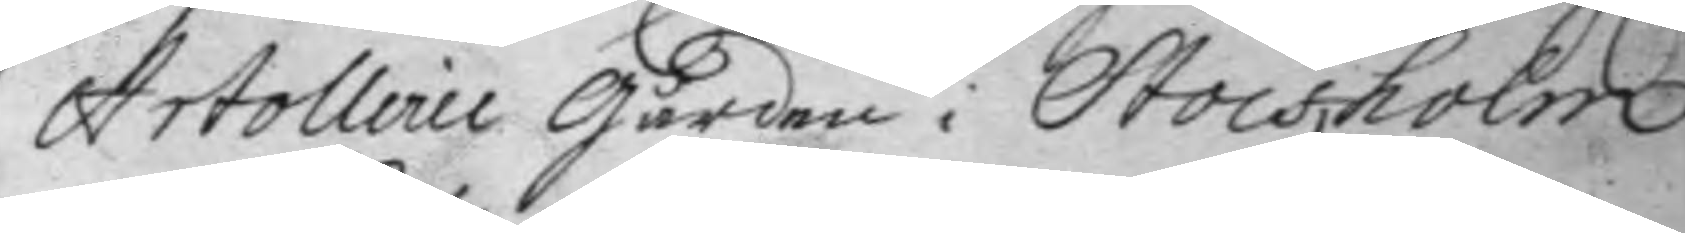Artollerie gården i Stockholm
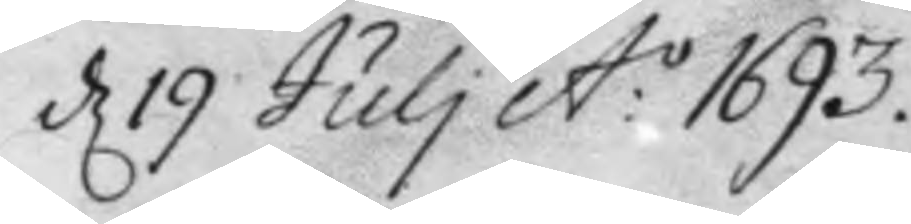d 19 Juli A:o 1693.
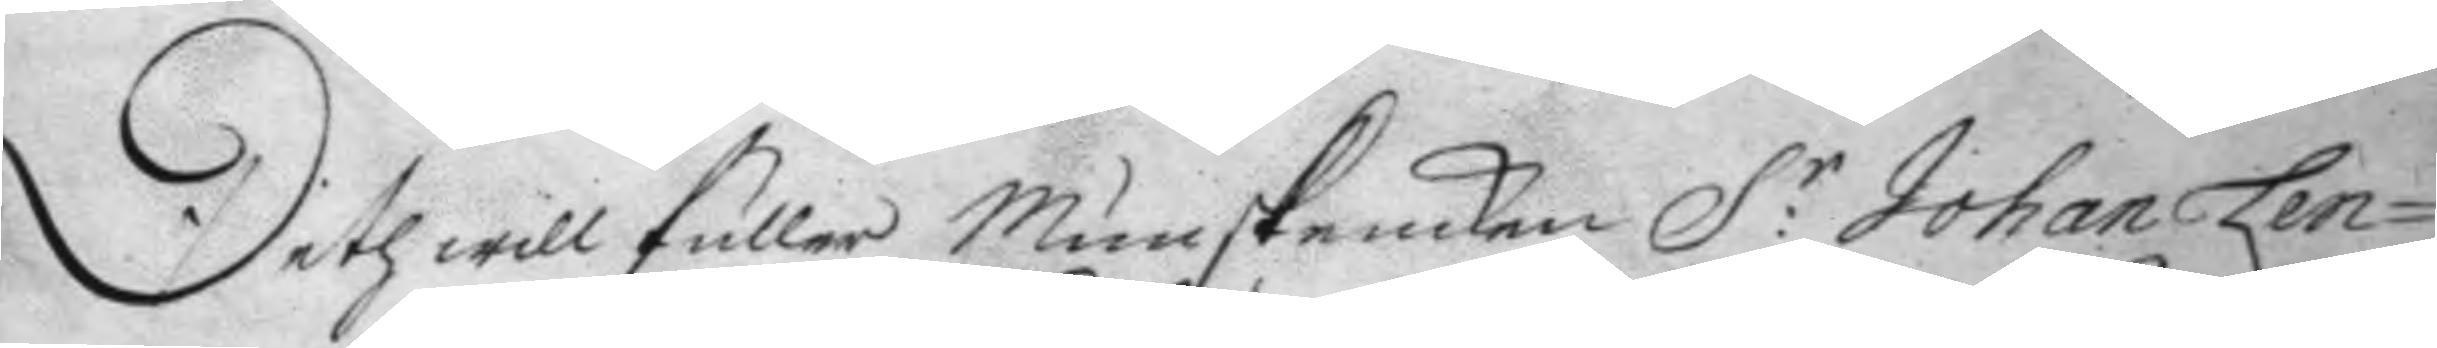Deth will fuller Munskencken S:r Johan Len¬
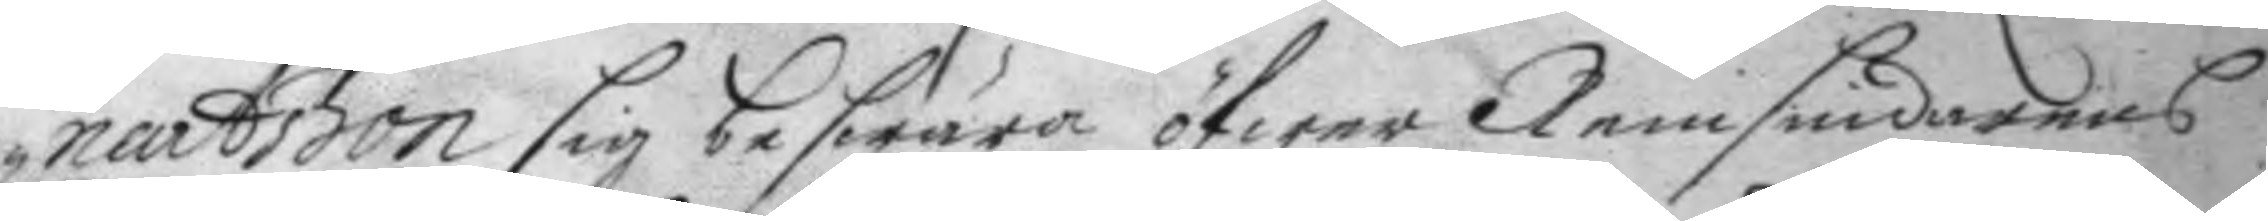nartsson sig beswära öfwer Remsnidarens
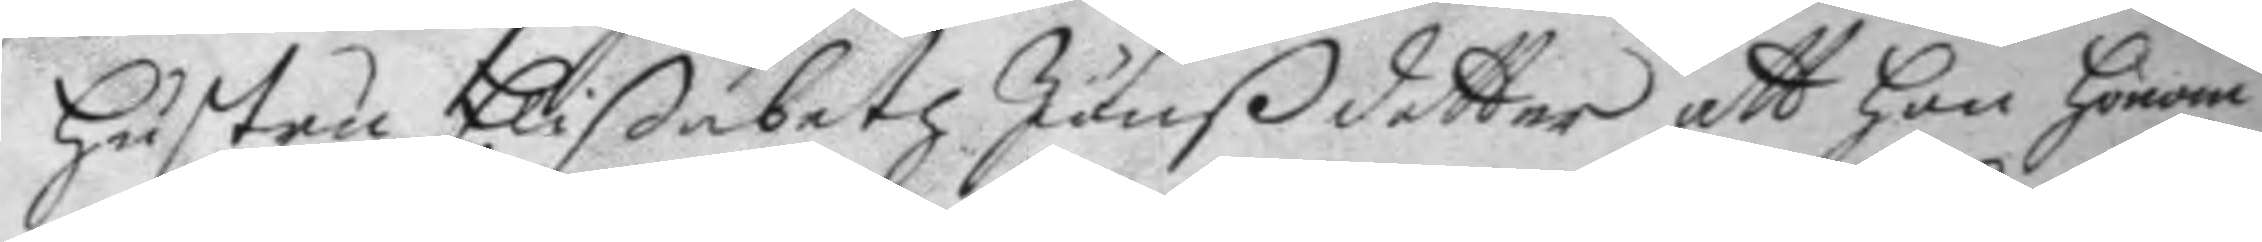hustru Elißanetz Jönßdotter att hon honom
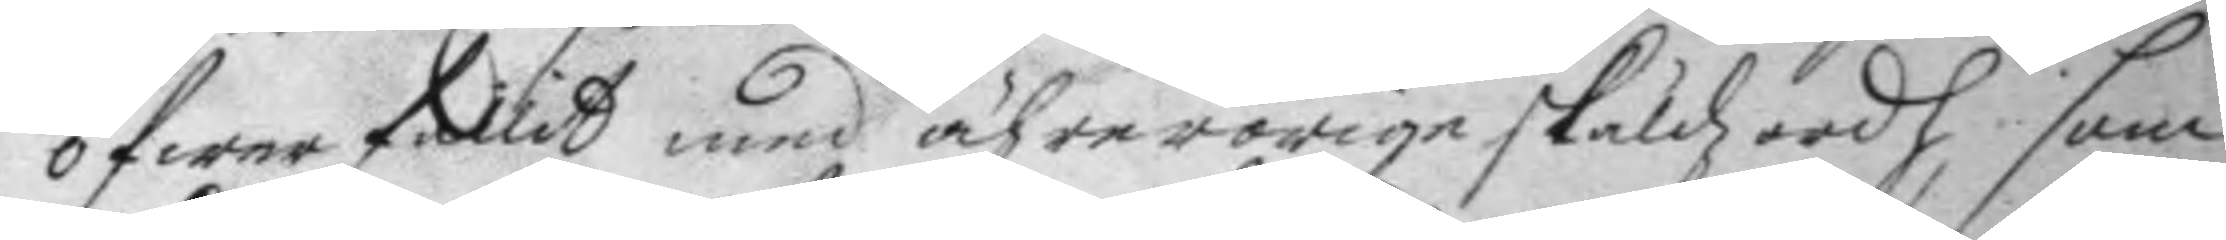öfwerfallit med ährerorige skäldzordh som
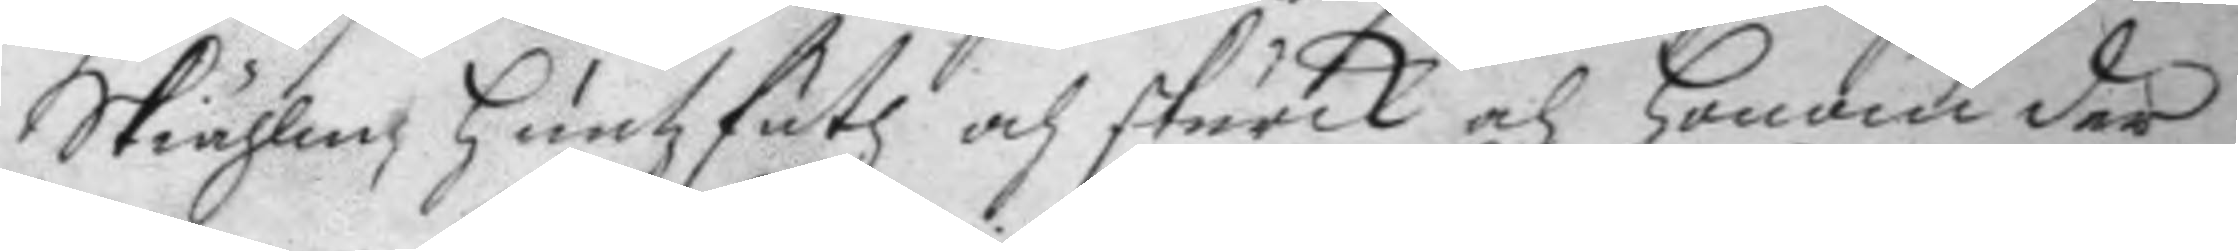Skiählm, huntzfutz och skurck och honom der
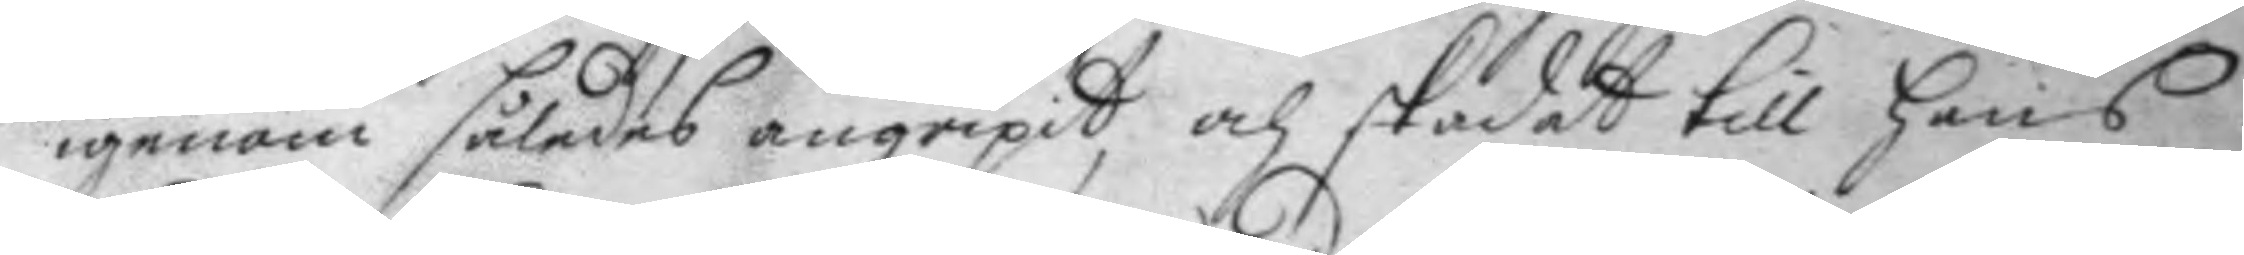igenom således angripit och skadat till hans
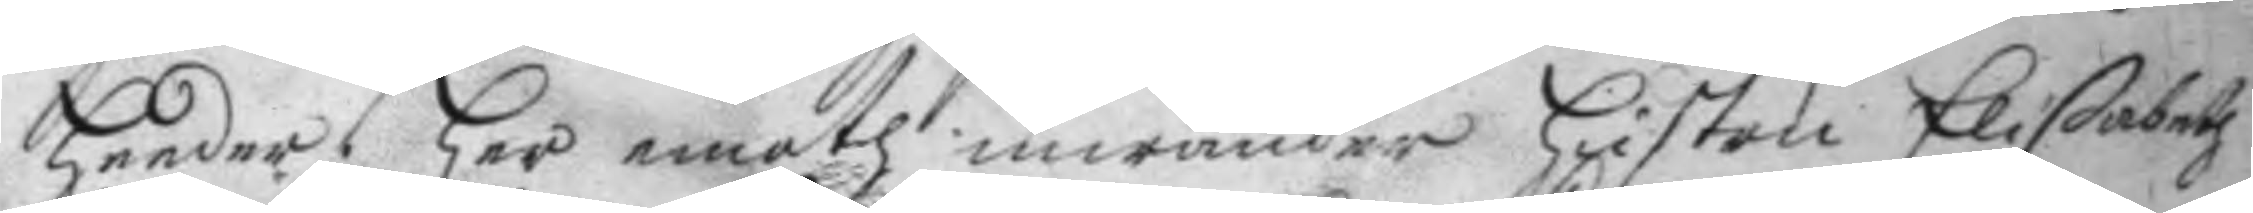heeder, har emoth inwänder hustru Elißabeth
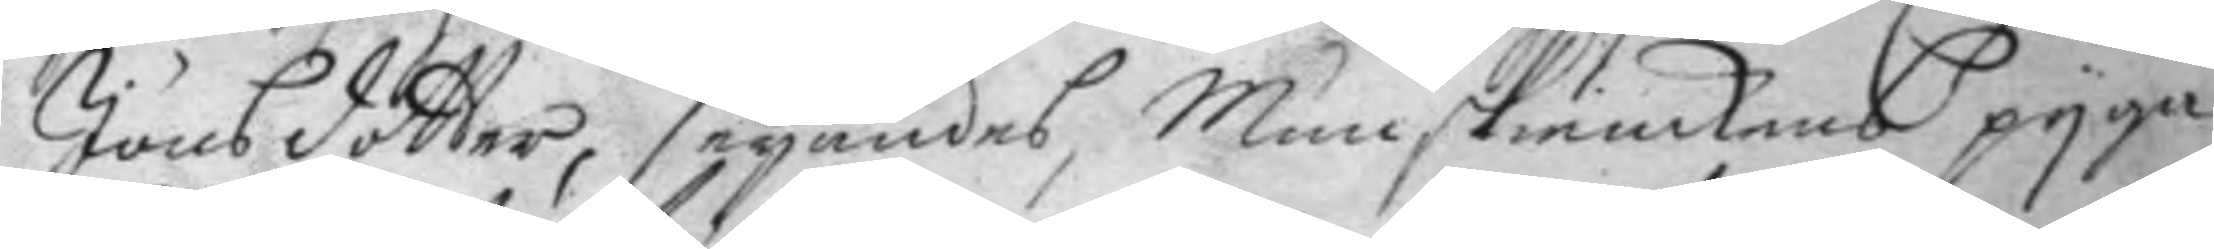Jönsdotter, seyandes, Munskenckens pyga
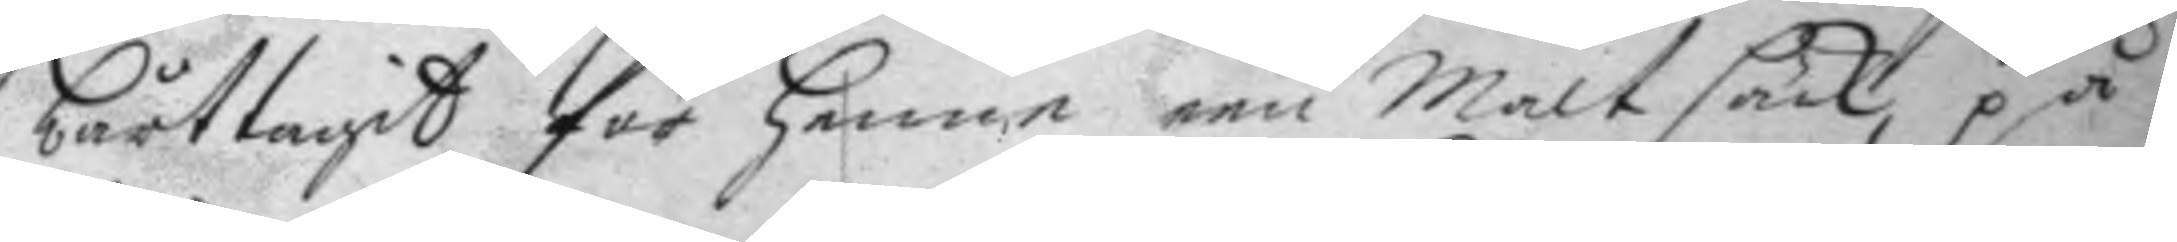bårttagit för henne een maltsäck på
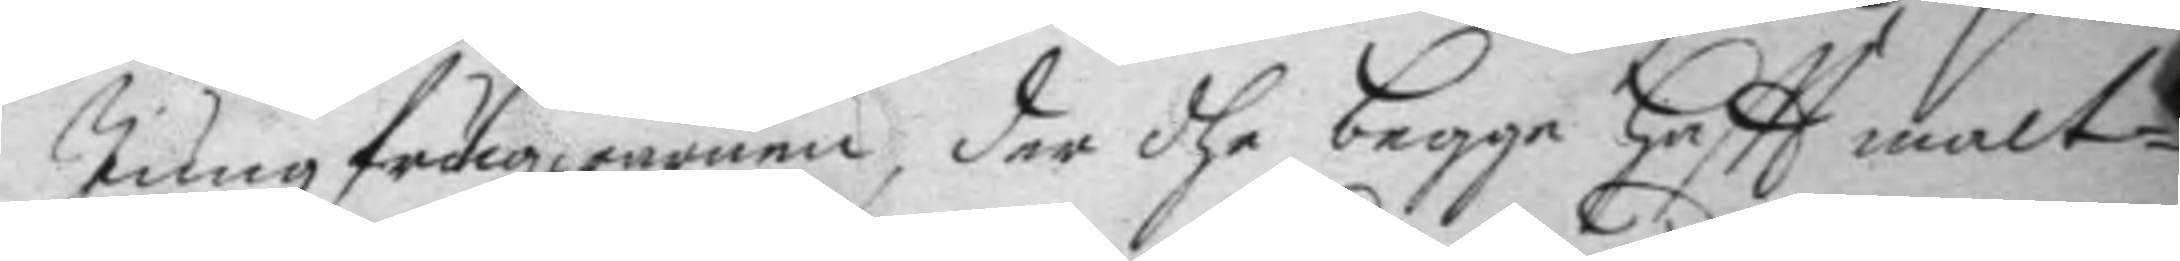Jungfruqwarnen, der dhe begge haftt malt¬
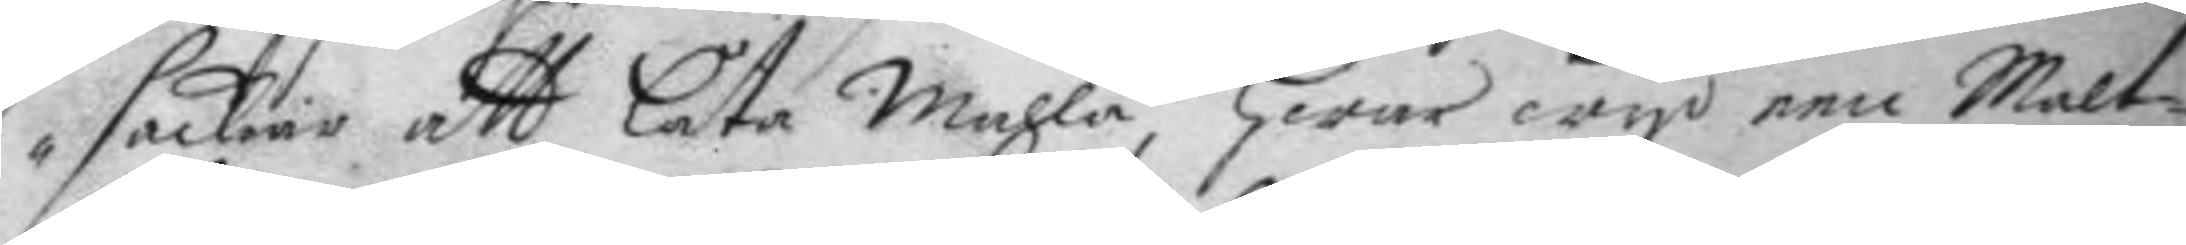säckiar att låta mahla, hwar wyd een Malt¬
